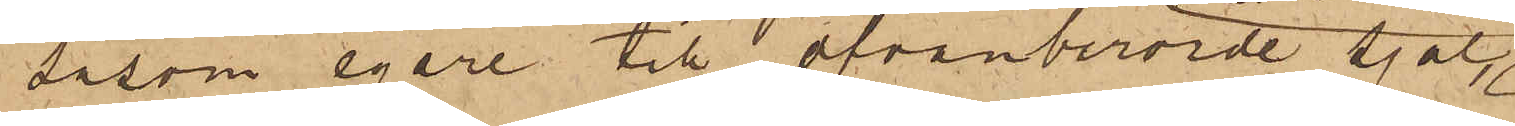såsom egare till ofvanberörde sjal
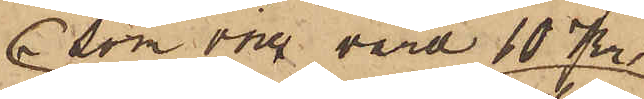som vore värd 10 Kr
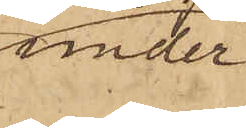under
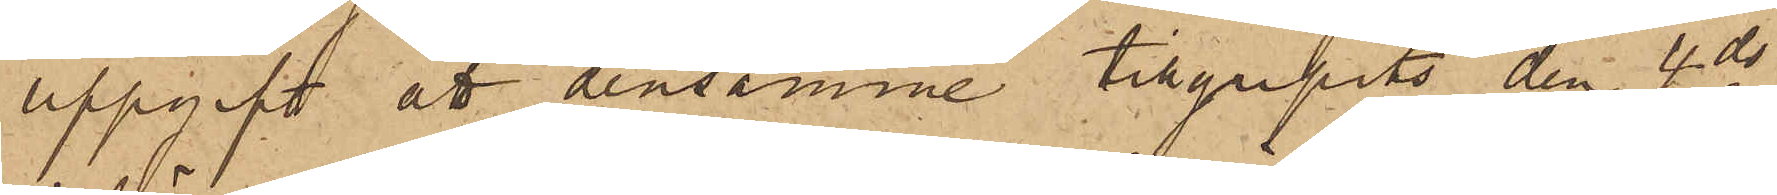uppgift att densamme tillgripits den 4 ds
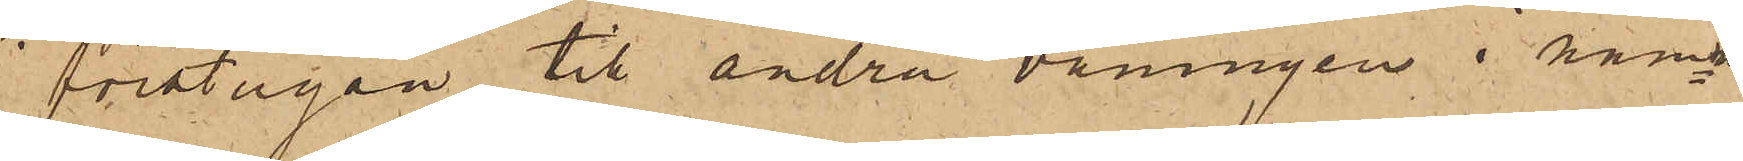i förstugan till andra våningen nämn¬
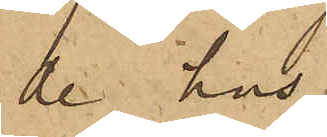de hus.
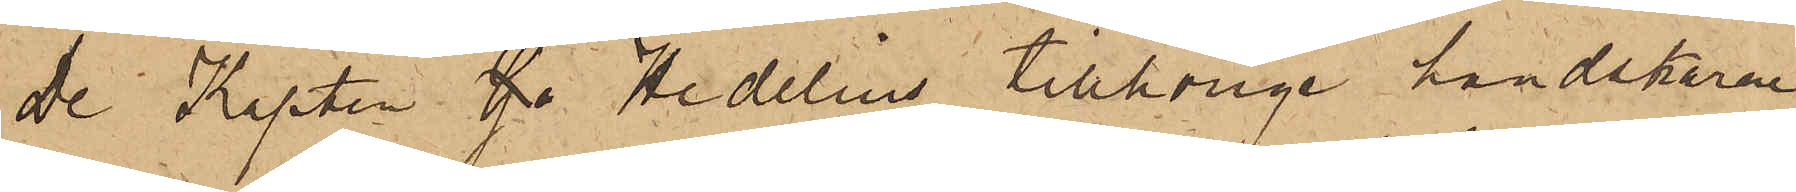De Kapten G. Hedelius tillhörige handskarne
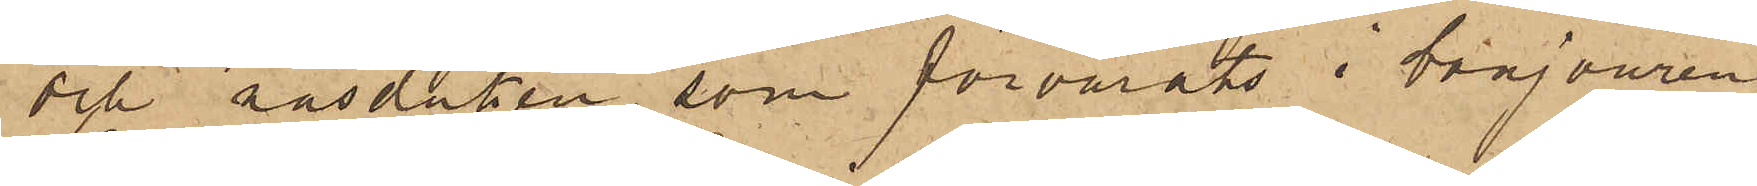och näsduken, som förvarats i bonjouren,
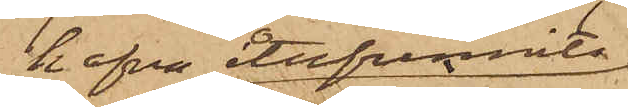hafva återfunnits
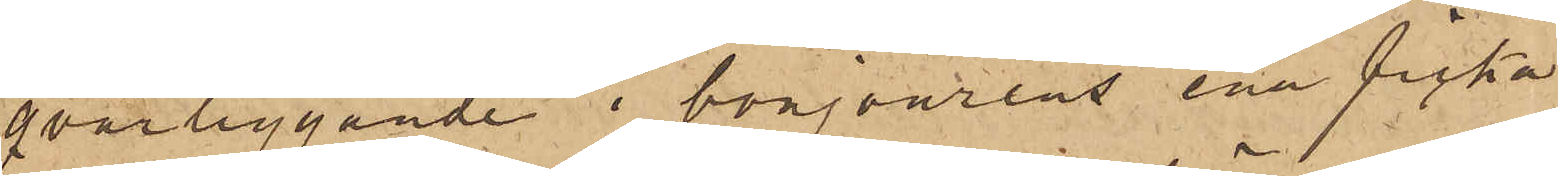qvarliggande i bonjourens ena ficka
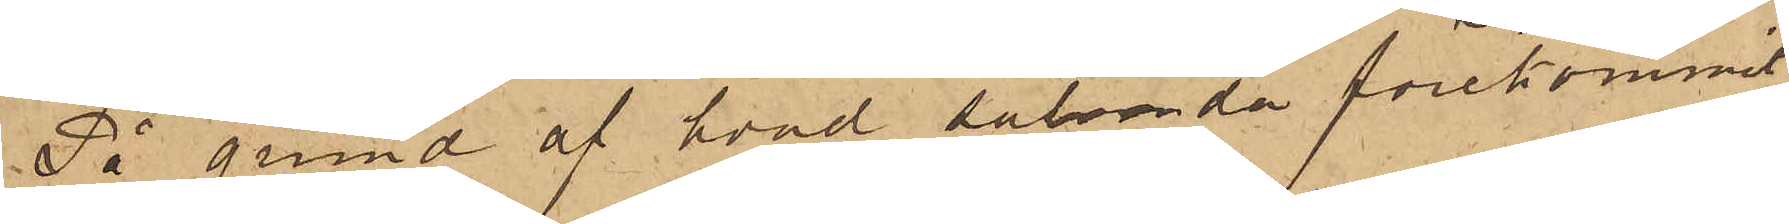På grund af hvad sålunda förekommit,
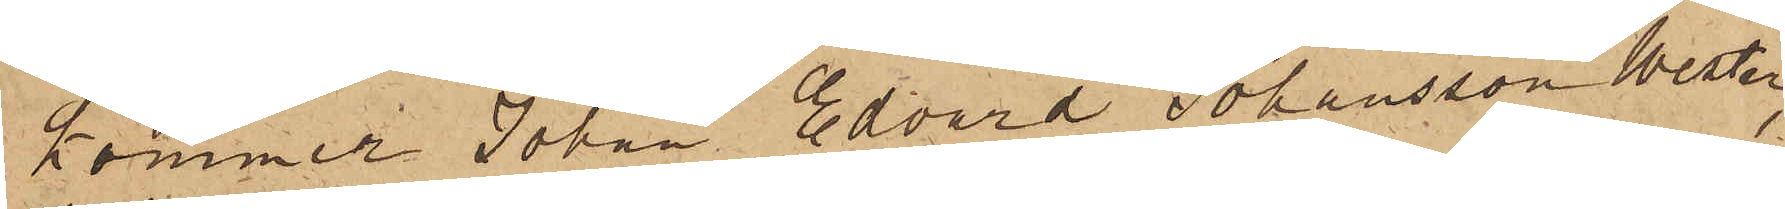kommer Johan Edvard Johansson Wester,
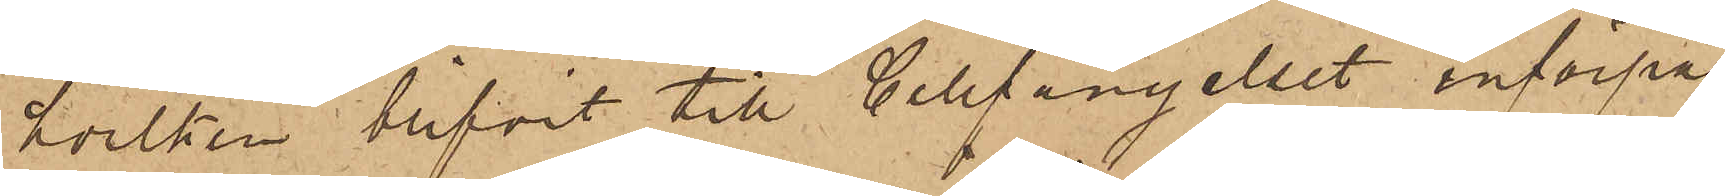hvilken blifvit till Cellfängelset införpas¬
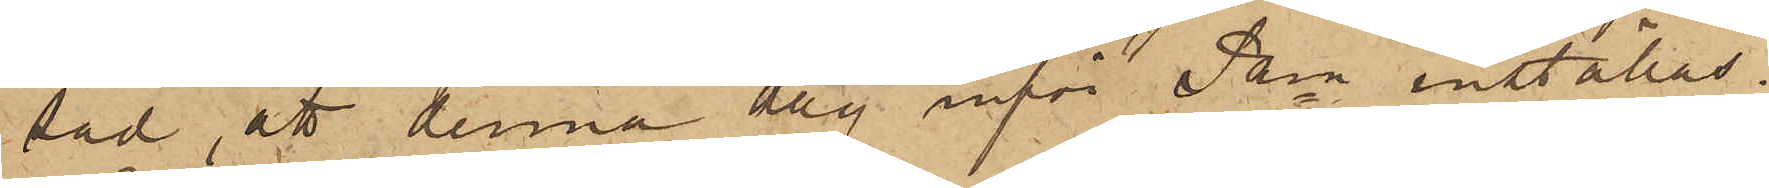sad, att denna dag inför Pkn inställas.
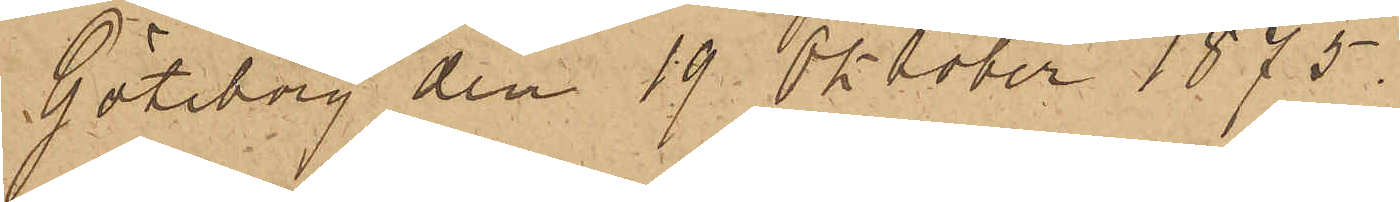Göteborg den 19 Oktober 1875.
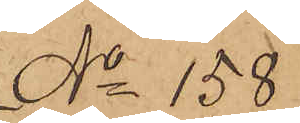No 158
